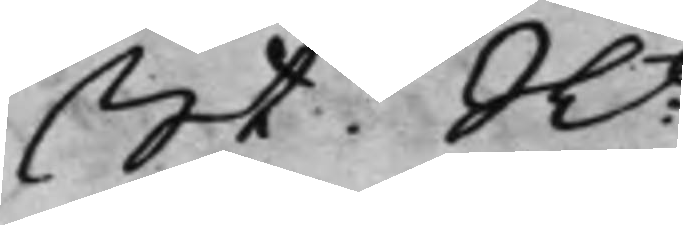St. Rt:
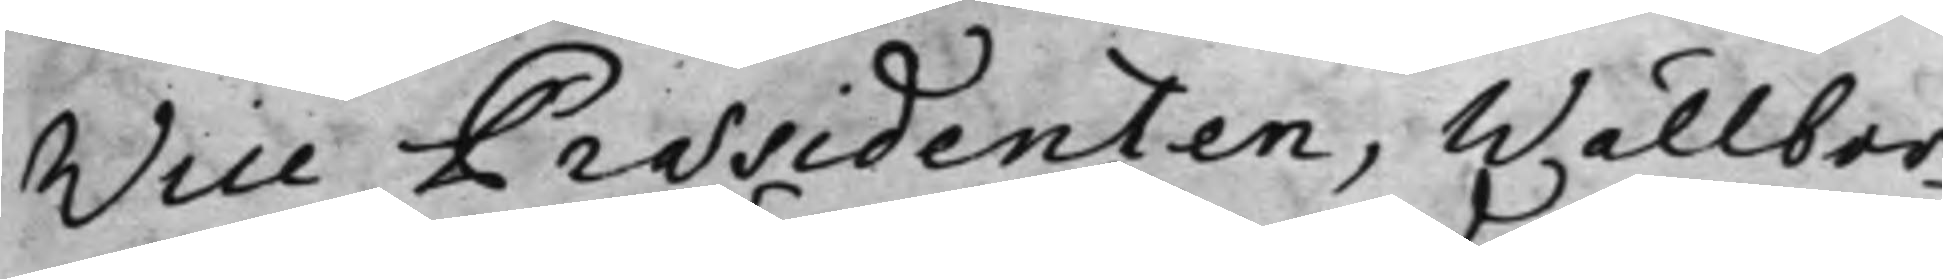Vice Præsidenten, Wällbor¬
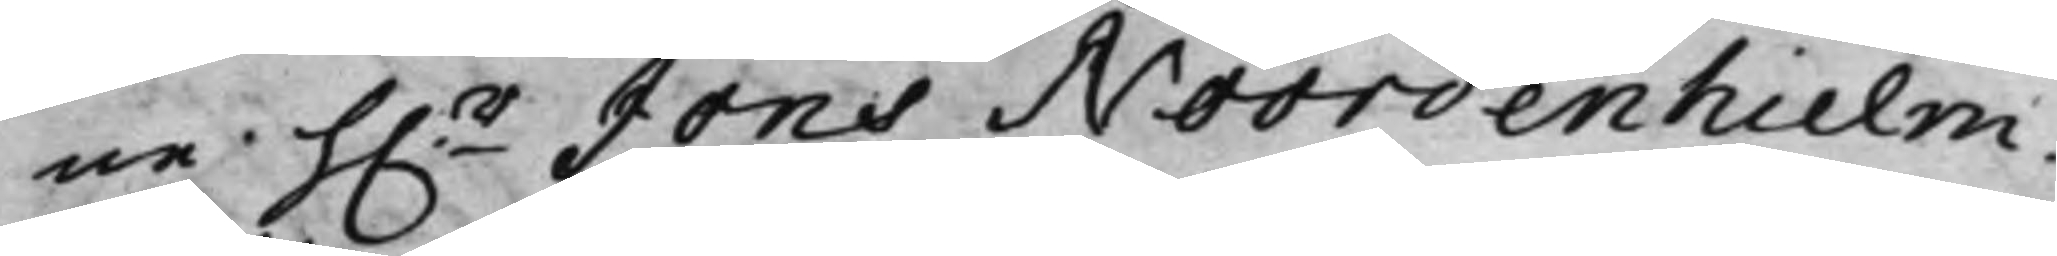ne h.r Jöns Noordenhielm.
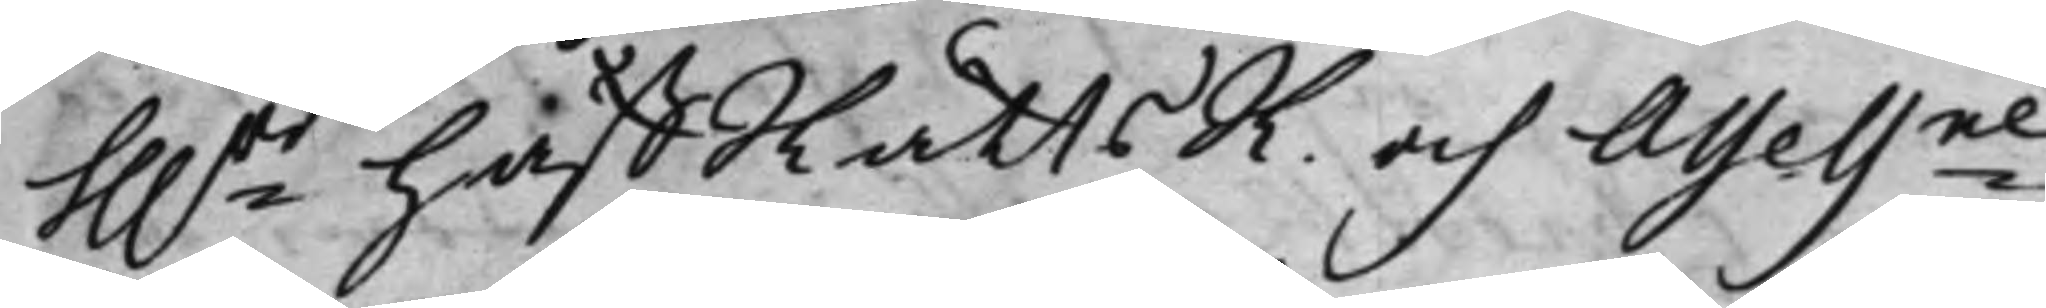hh.rr HåffRättsR. och Assessne
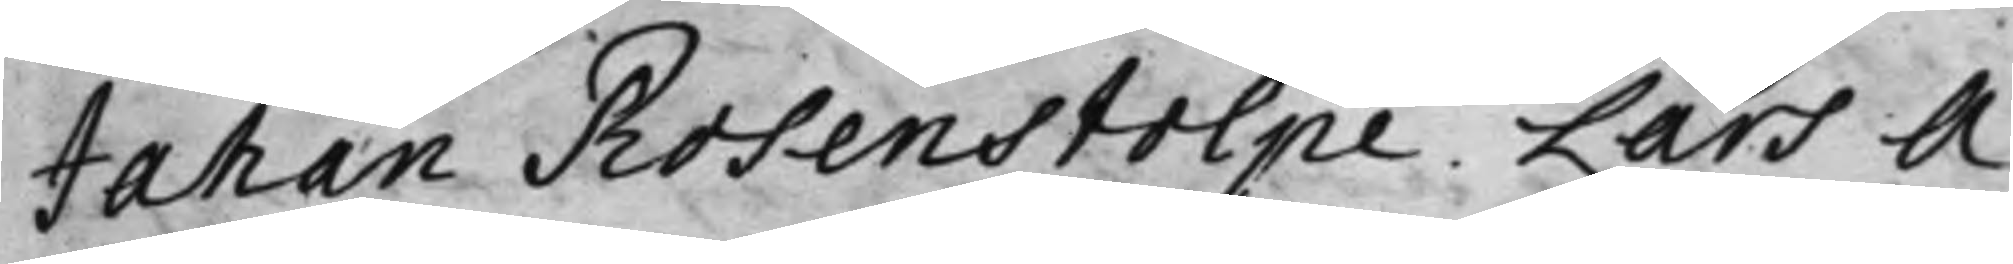Johan Rosenstolpe, Lars A¬
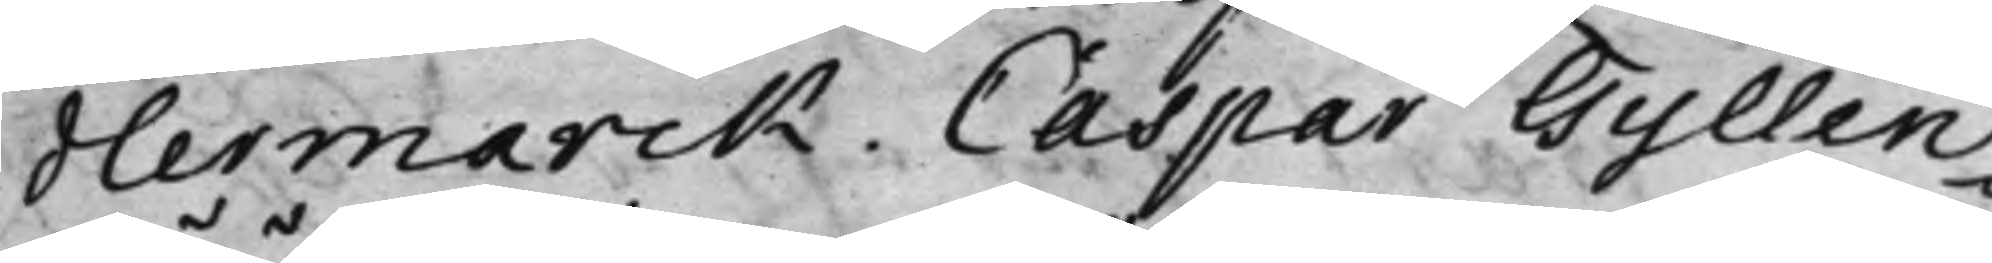dlermarck. Caspar Gyllen¬
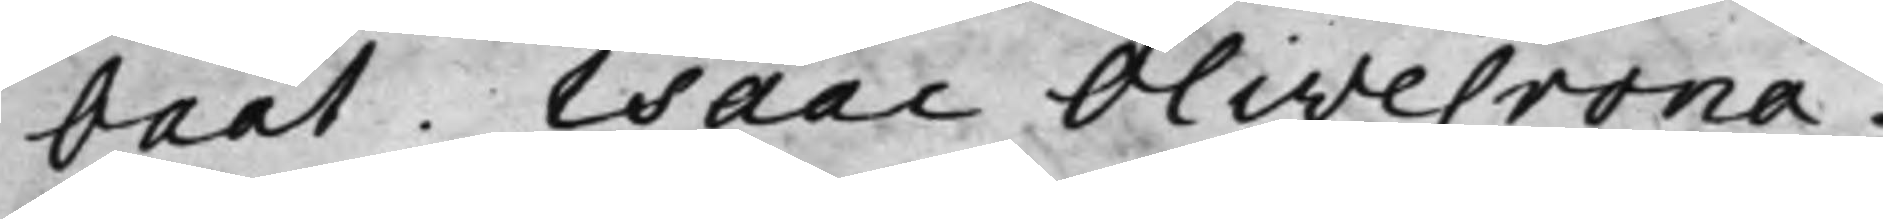bååt. Isaac Olivecrona.
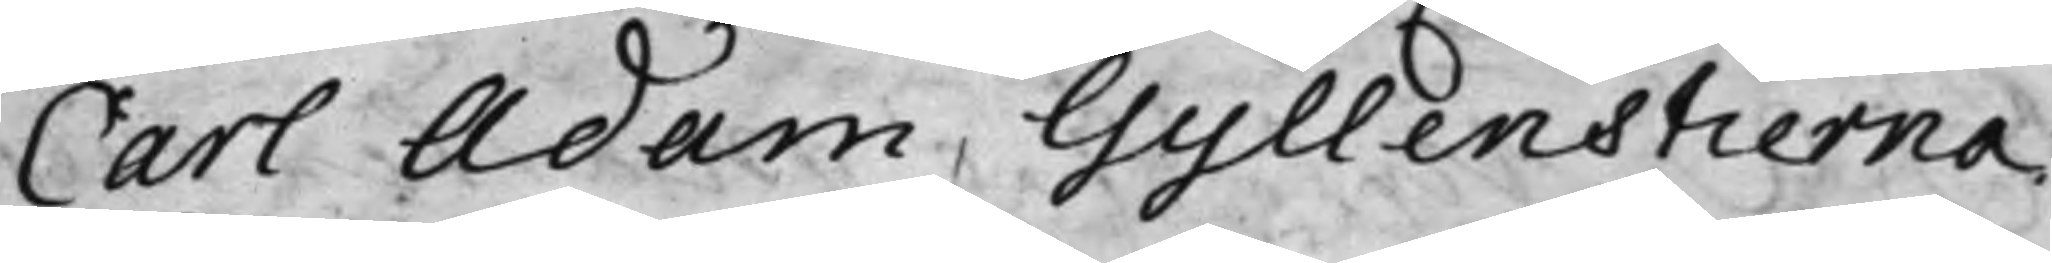Carl Adam, Gyllenstierna.
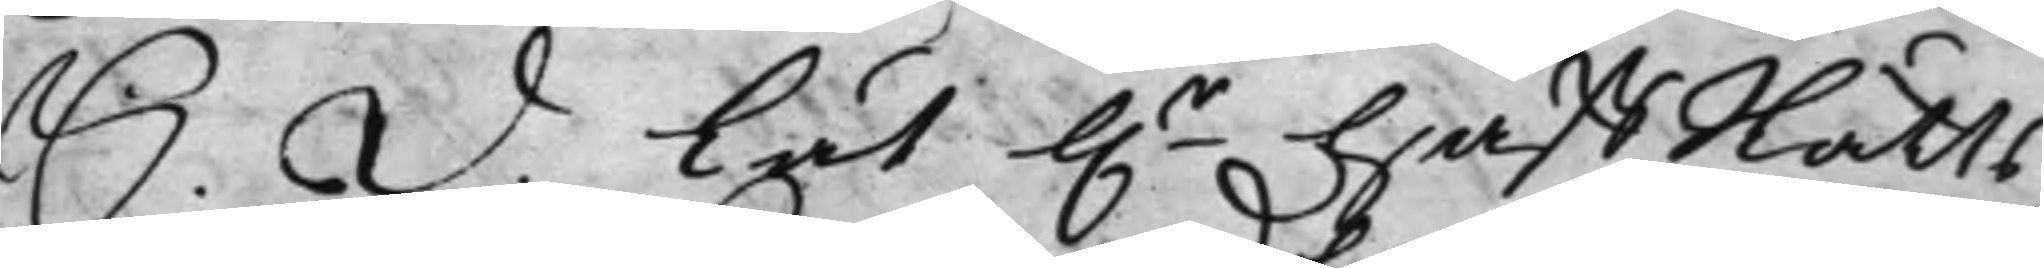S. D. Lät h.r HåffRätts¬
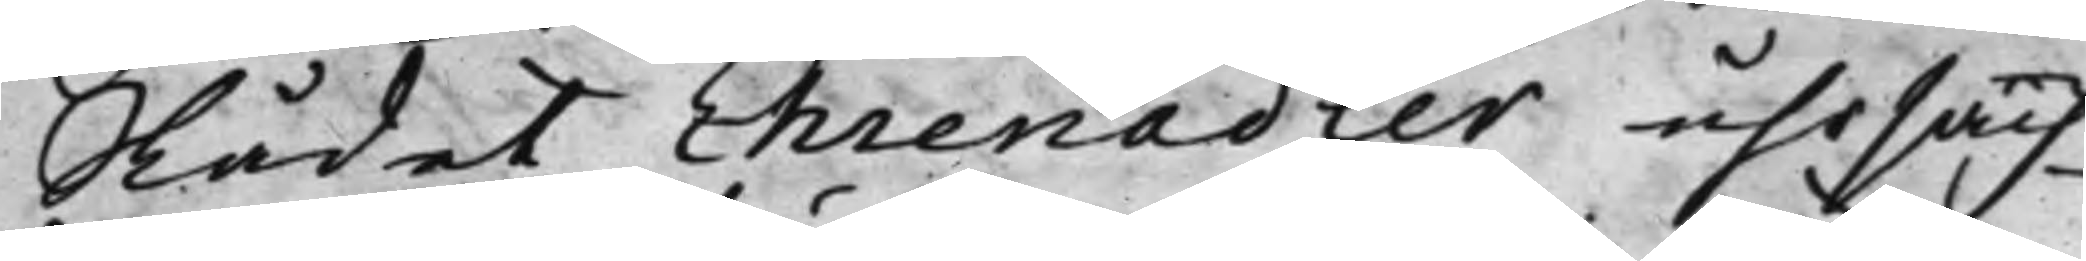Rådet Ehrenadler uhrsäch¬
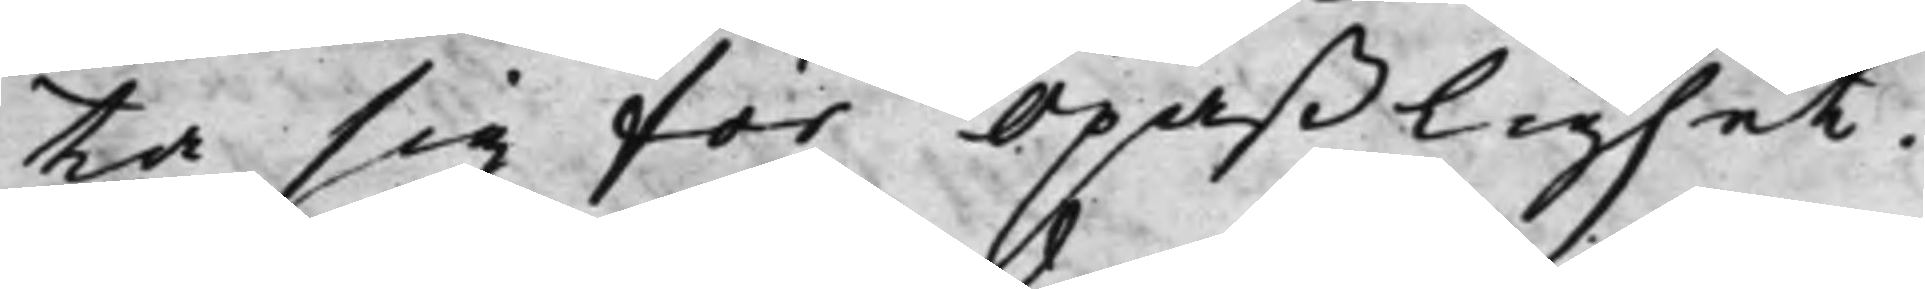ta sig för opaßlighet.
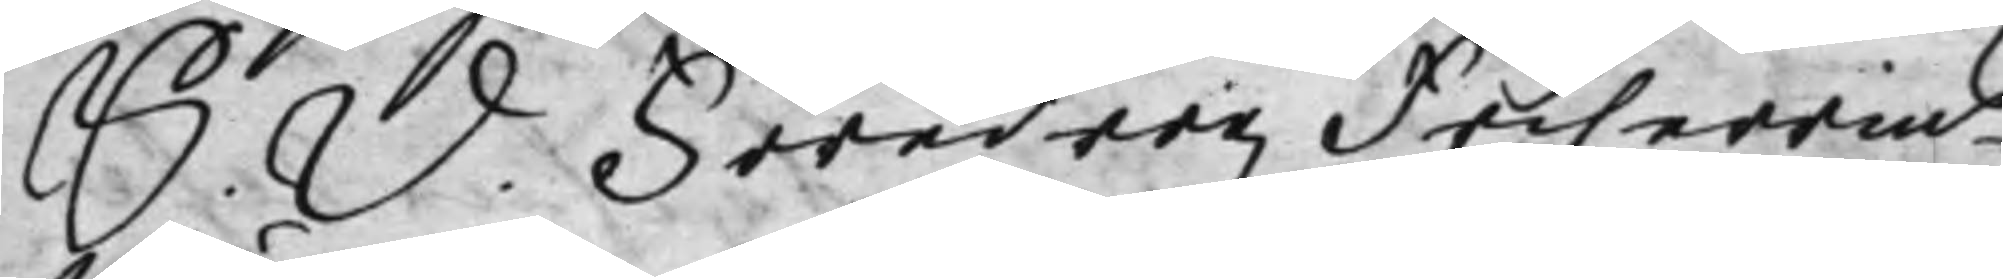S. D. Föredrogz Friherrins
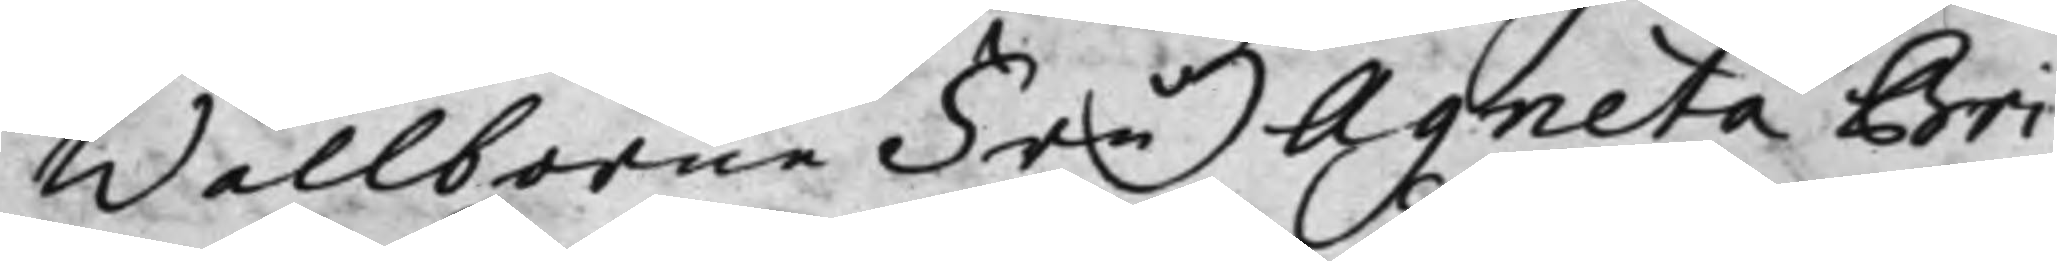Wällborne Fru Agneta Bri¬
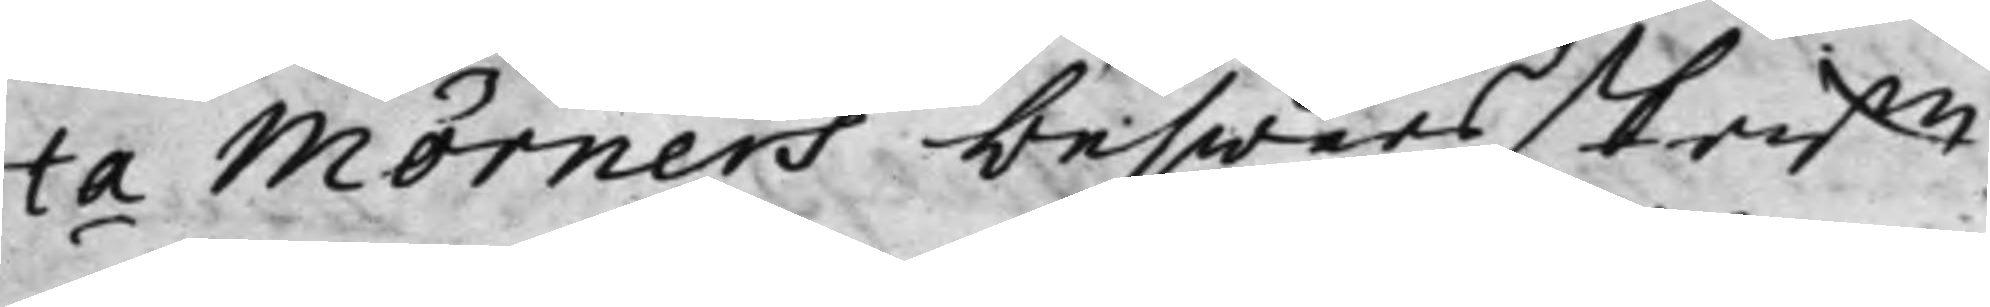ta Mörners beswärsskrift
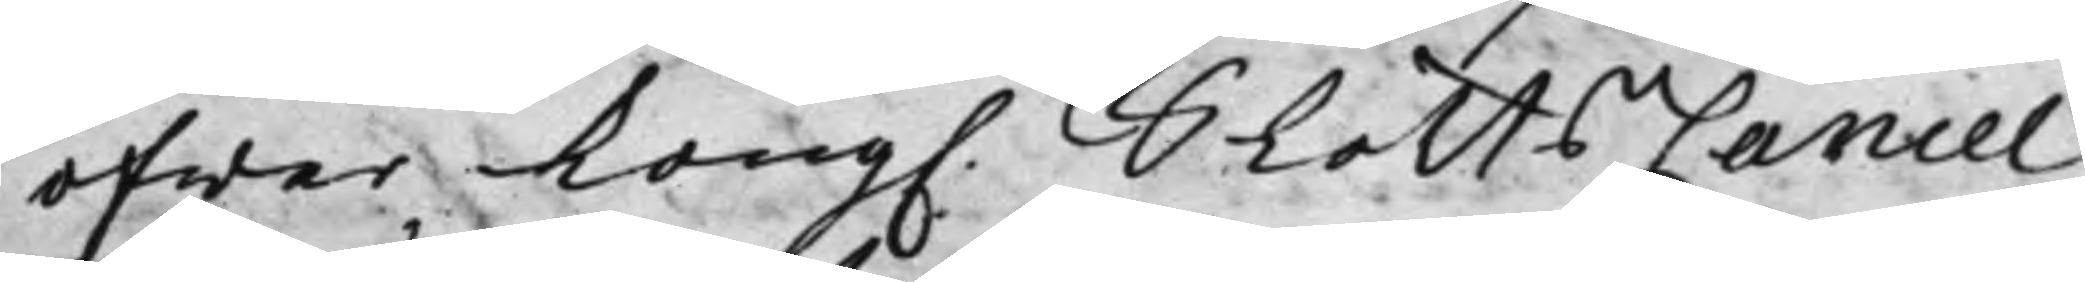öfwer Kong. SlåttsCancel¬
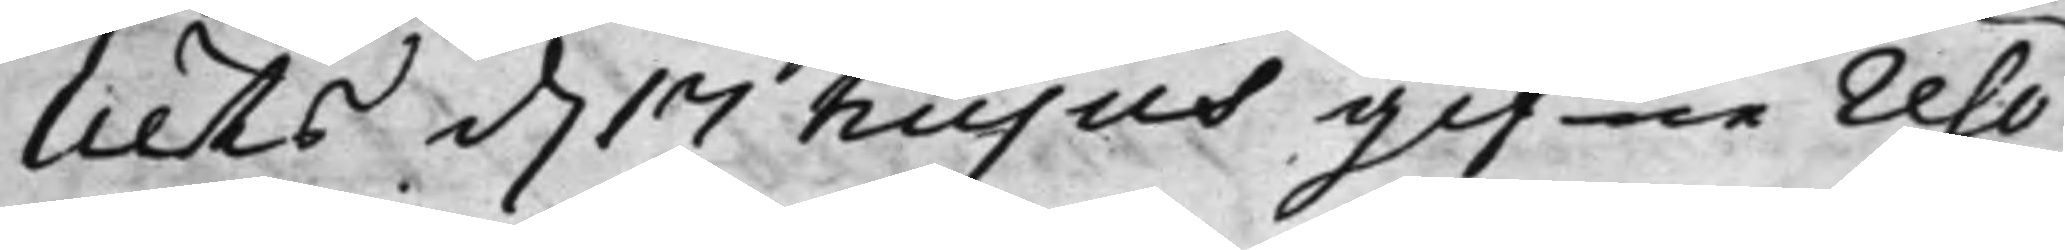liets d. 17 hujus gifne reso¬
